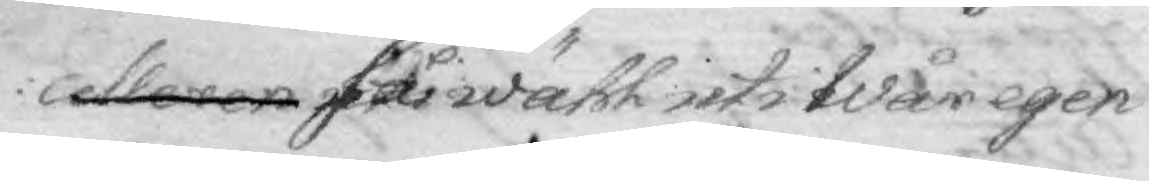celleren så wähl uti Wår egen
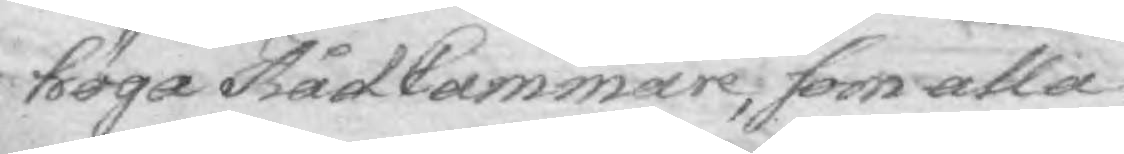höga Råd Cammare, som alla 
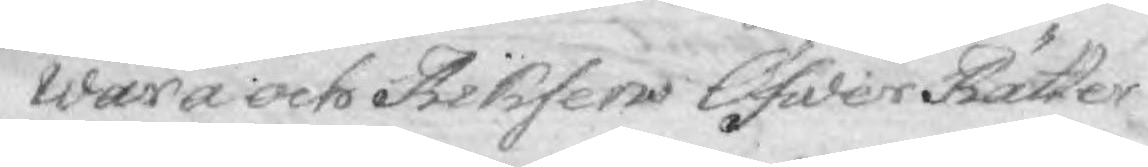wåra och Riksens Öfwer Rätter
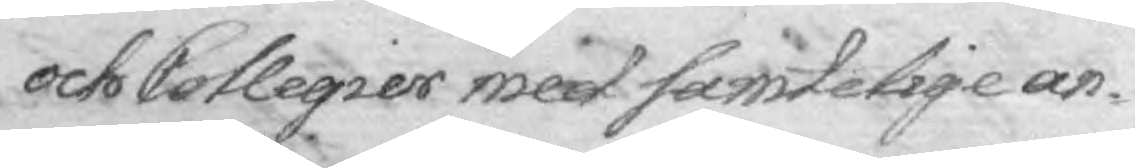och Collegier med samtelige an¬
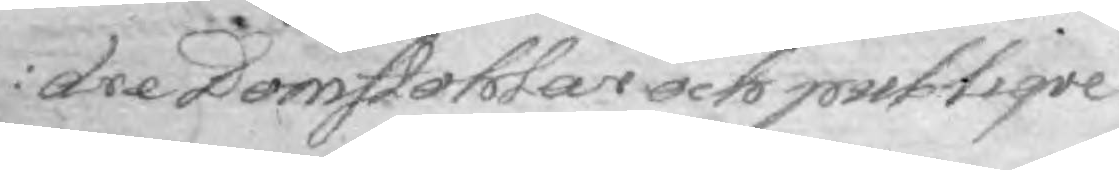dre Domstohlar och publiqve
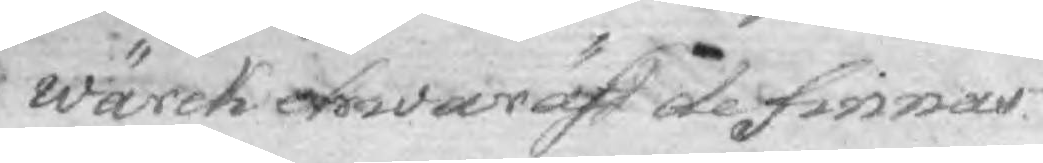wärck ehwaräst de finnas.
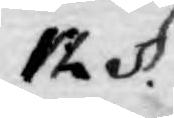12 §.
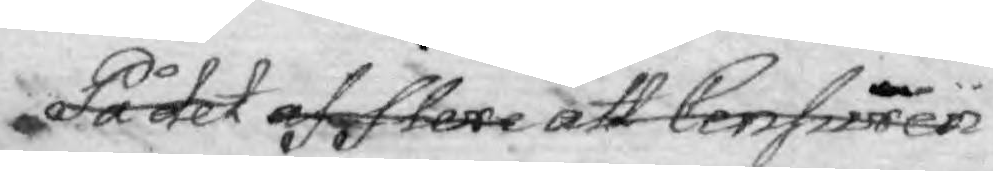På det af flere att Censuren
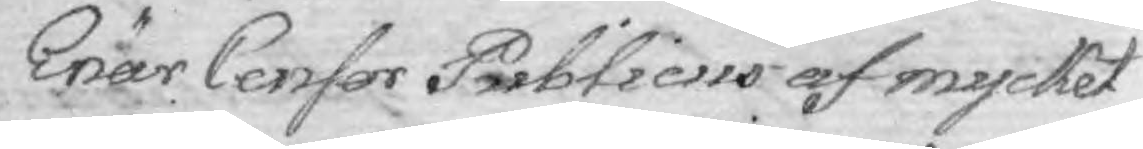Enär Censor Publicus af mycket
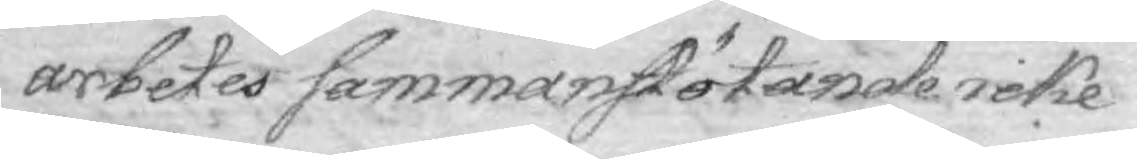arbetes sammanstötande icke
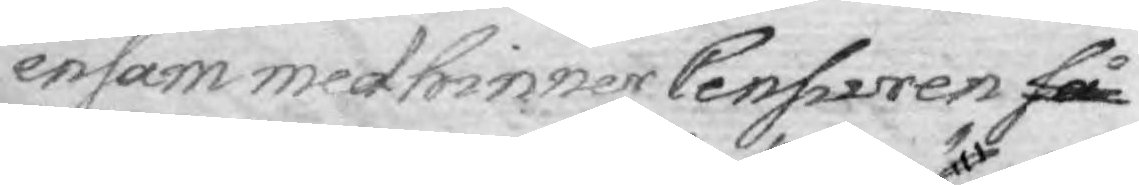ensam medhinner Censuren så
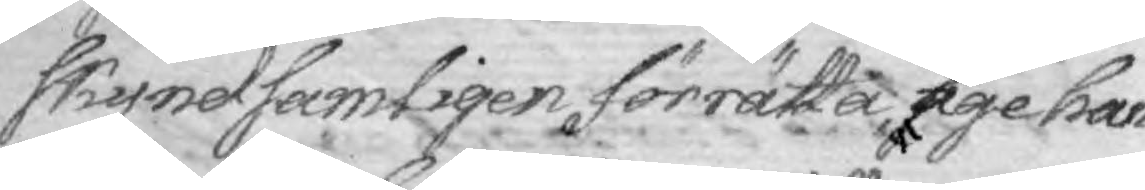skyndsamligen förrätta äga han
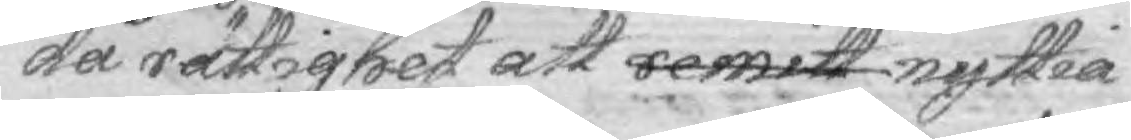då rättighet att remitt nyttia
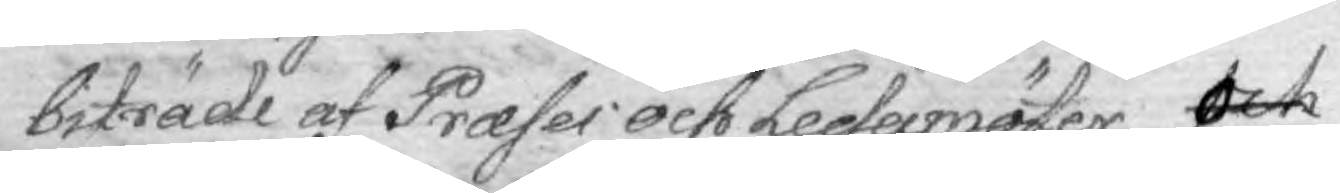biträde af Praeses och Ledamöter¬ och
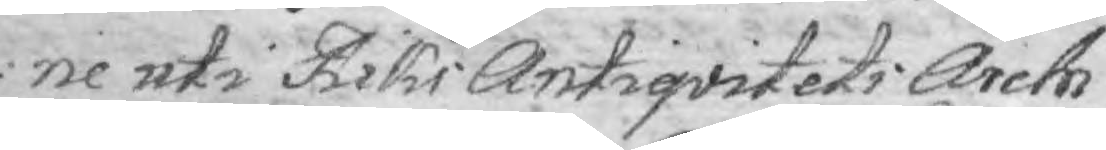ne uti Riks Antiqvitets Archi¬
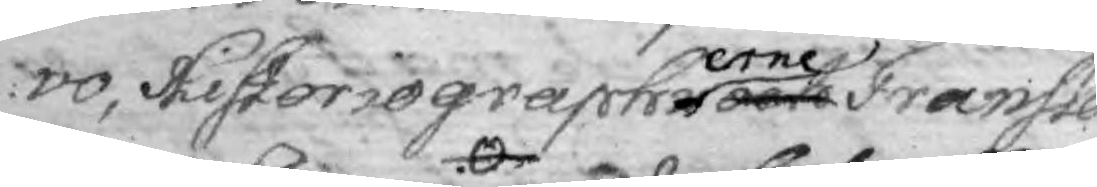vo, Historiographerne och Transla¬
